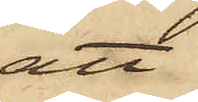att
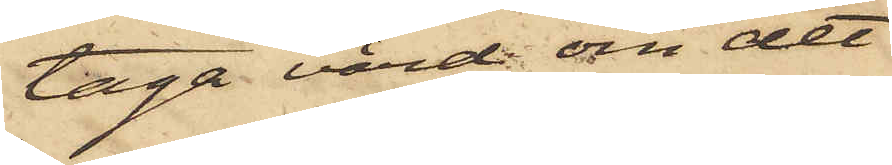taga vård om det
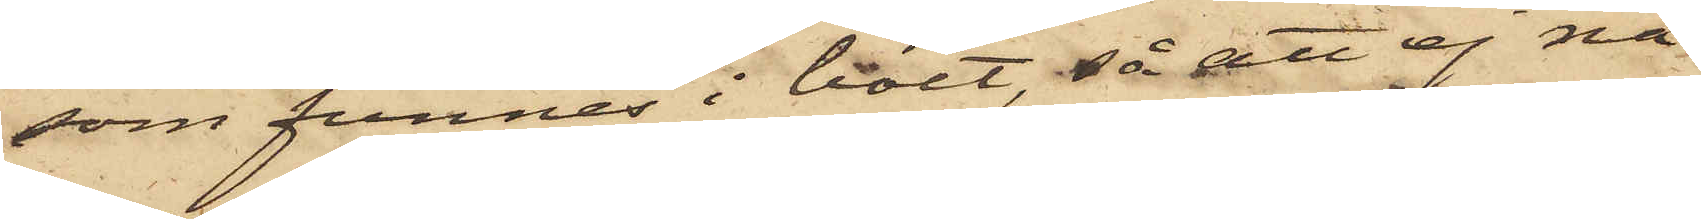som funnes i boet, så att ej nå¬
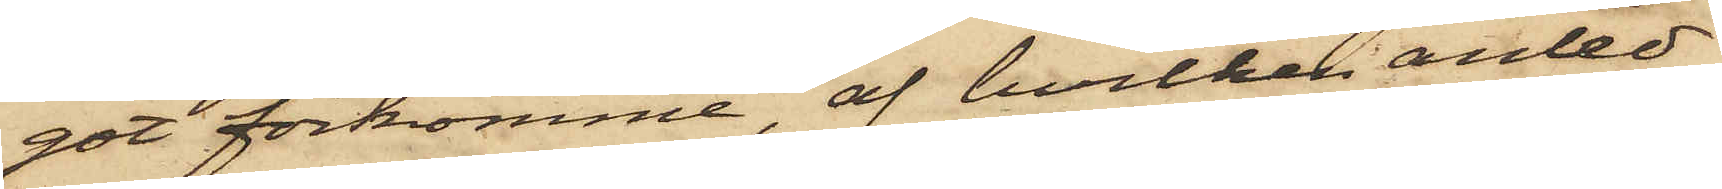got förkomme, af hvilken anled¬
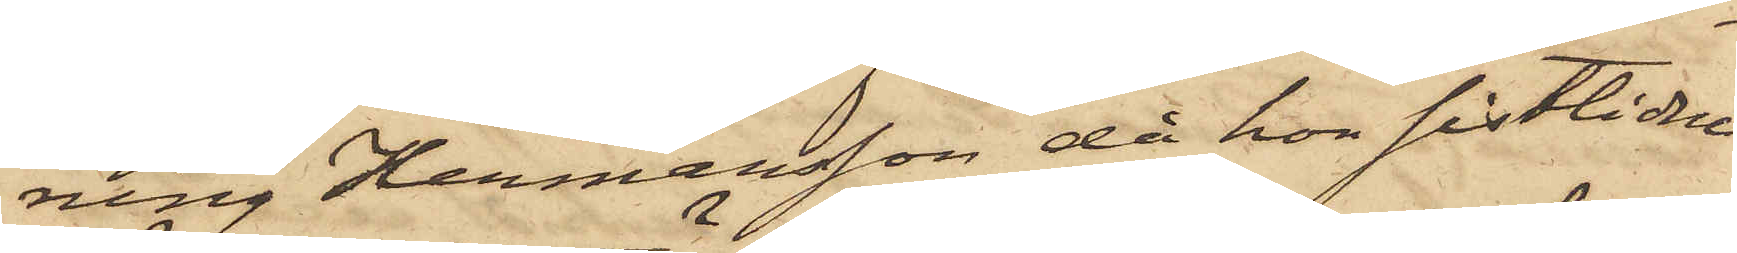ning Hermansson, då hon sistlidne
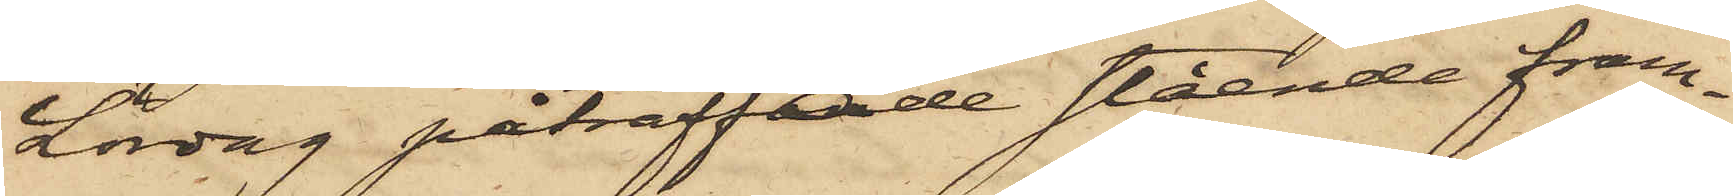Lördag påträffande stående fram¬
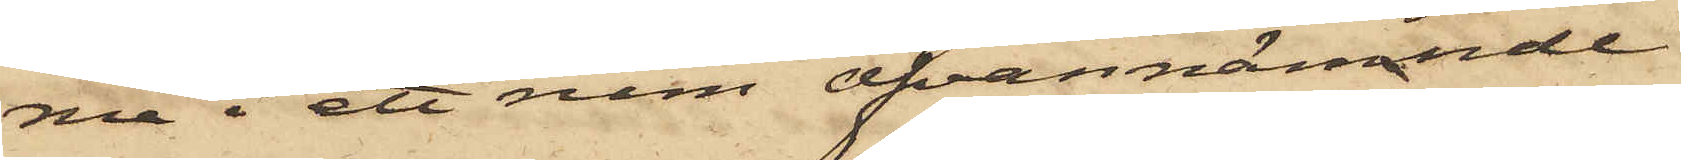me i ett rum ofvannämnde
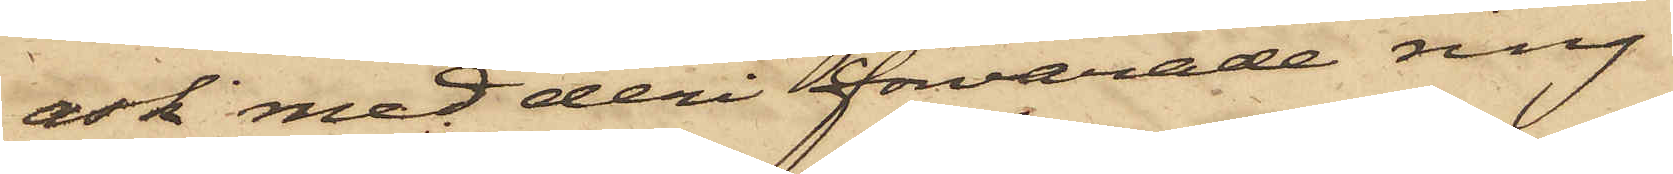ask med deri förvarade ring
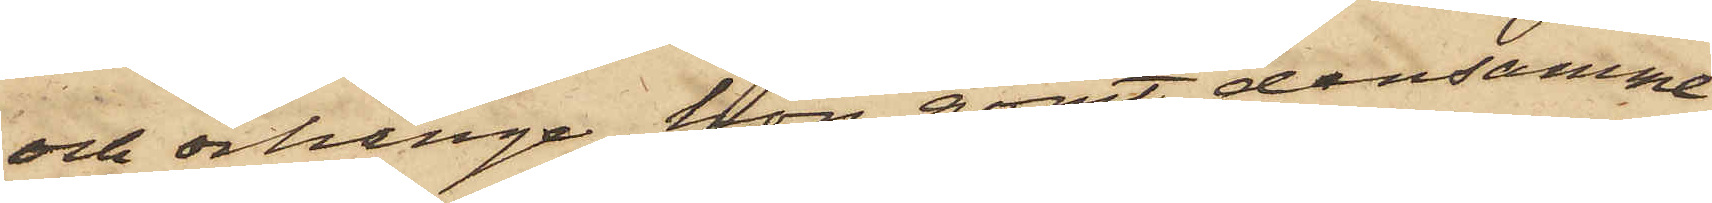och örhänge, hon gömt densamma
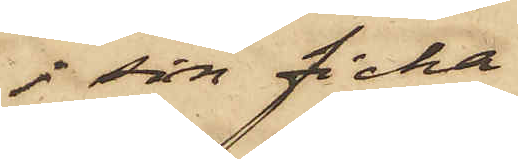i sin ficka
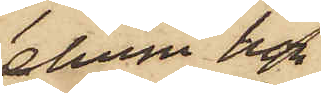ehuru hon
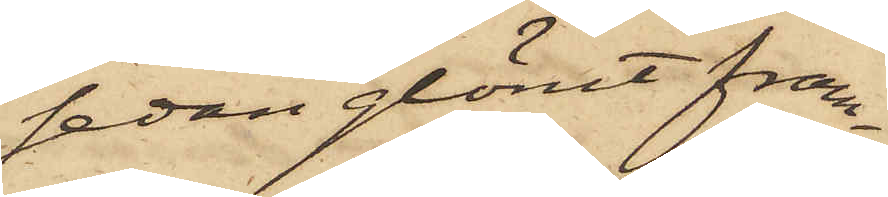sedan glömt fram¬
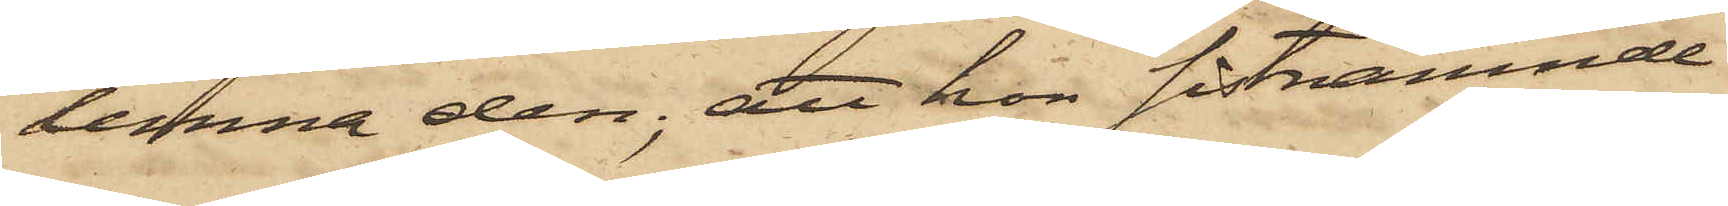lemna den; att hon sistnämnde
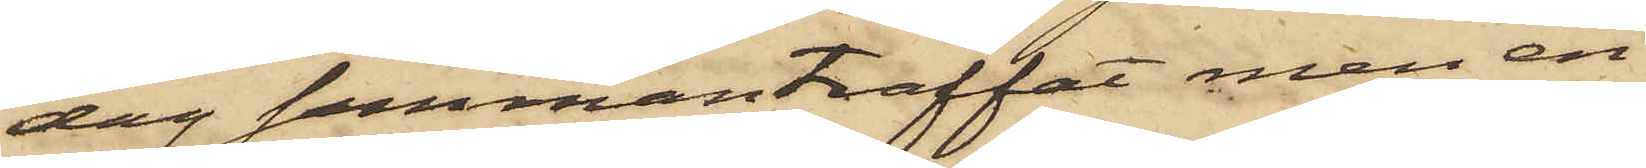dag sammanträffat men en
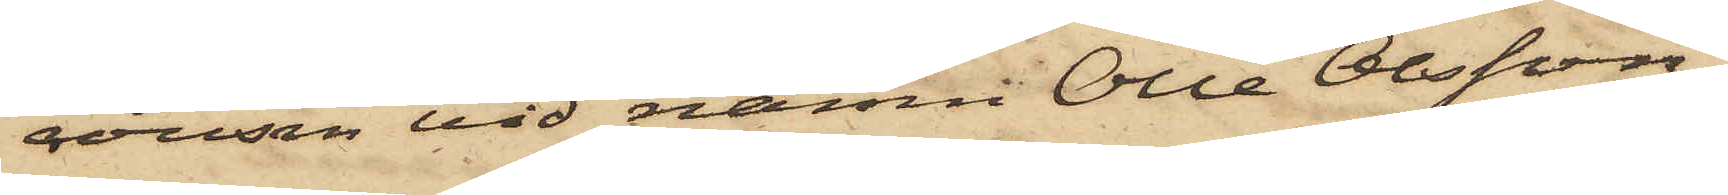cousin vid namn Olle Olsson,
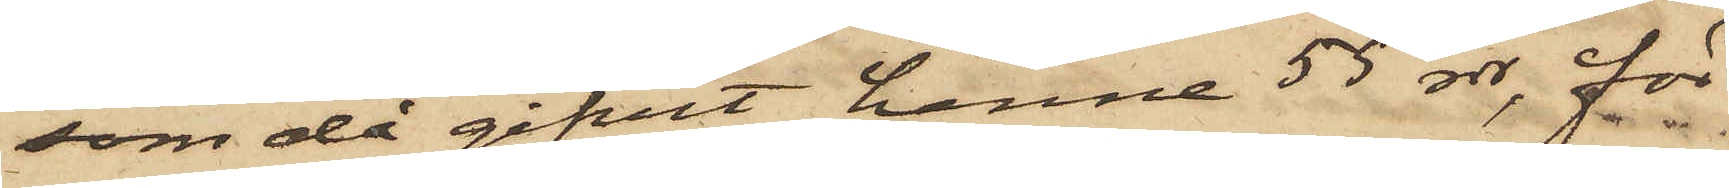som då gifvit henne 55 rdr, för
